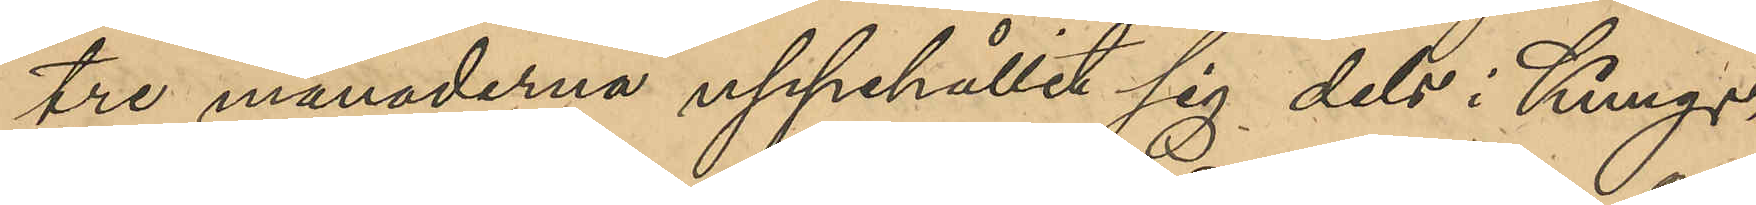tre månaderna uppehållit sig dels i Kungs¬
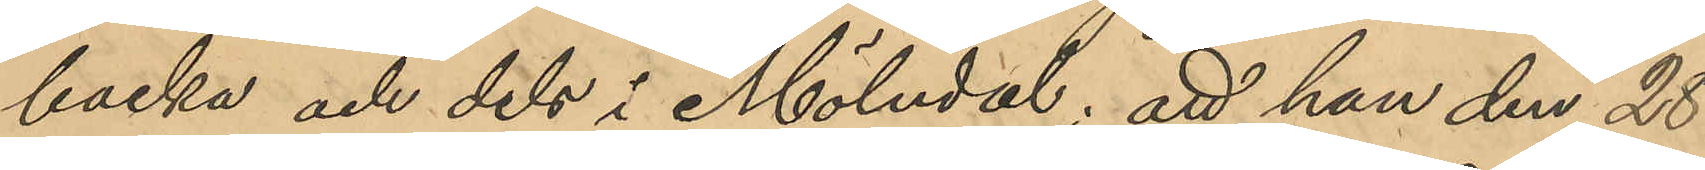backa och dels i Mölndal; att han den 28
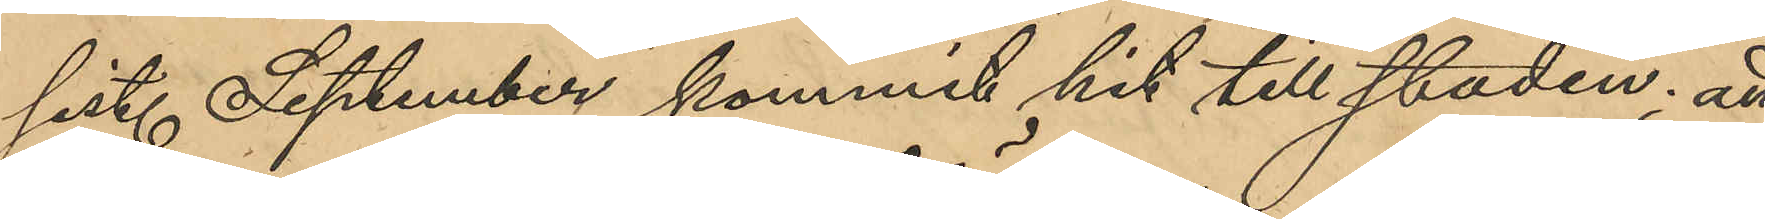sist. September kommit hit till staden; att
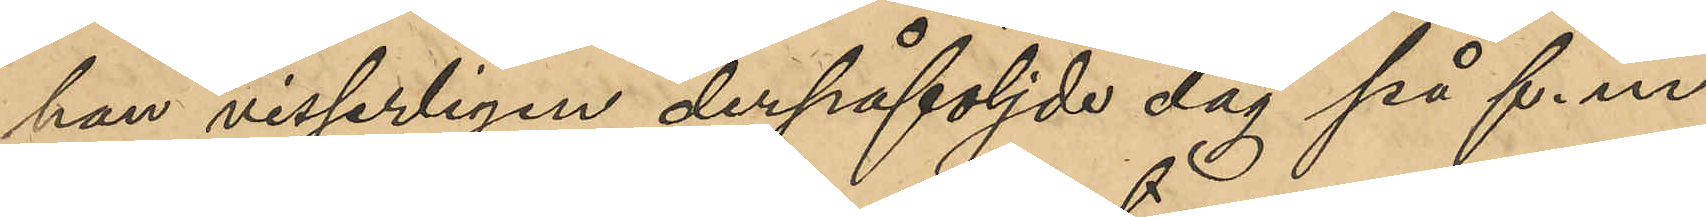han visserligen derpåföljde dag på f. m.
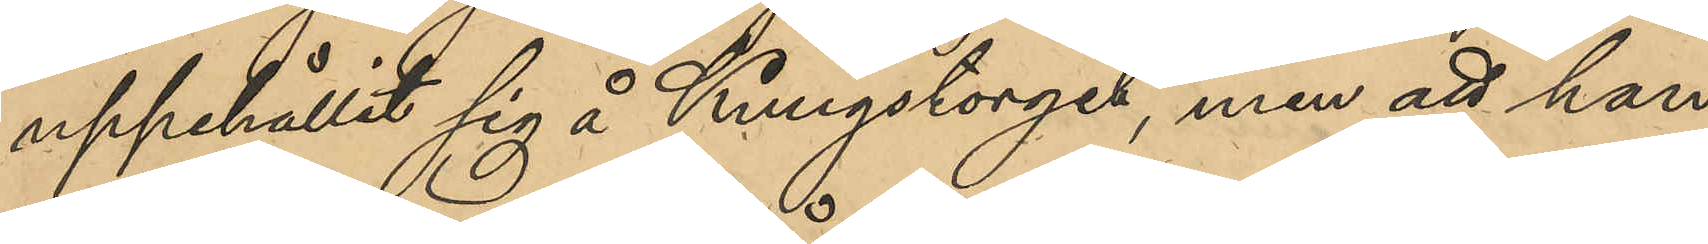uppehållit sig å Kungstorget, men att han
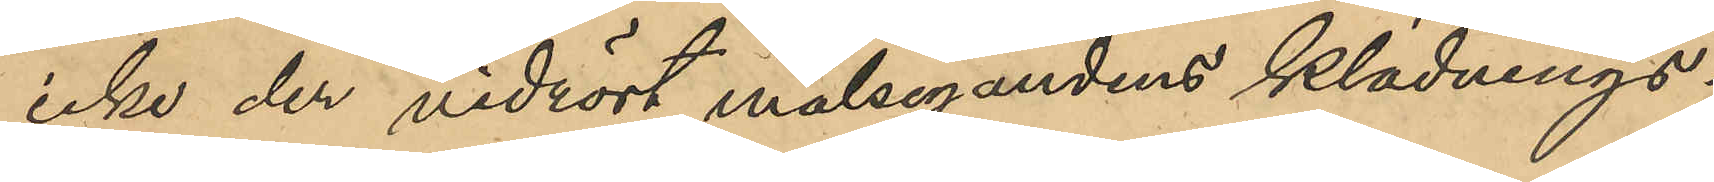icke der vidrört målsegandens klädnings¬
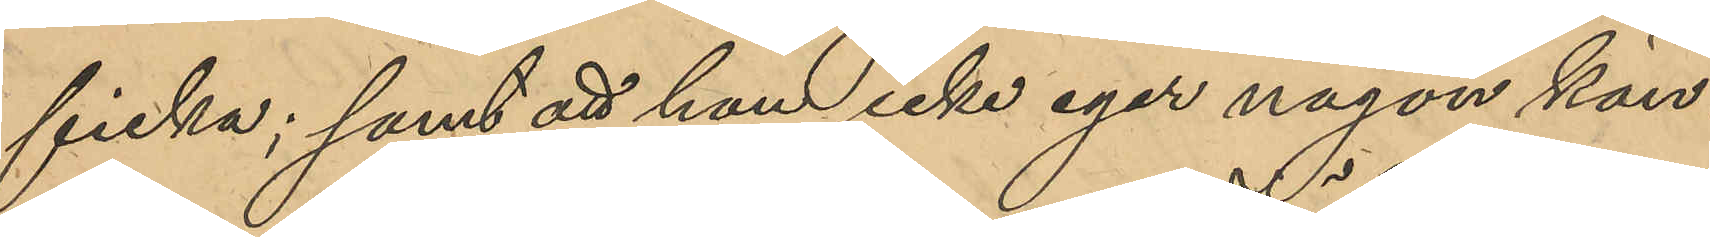ficka; samt att han icke eger någon kän¬
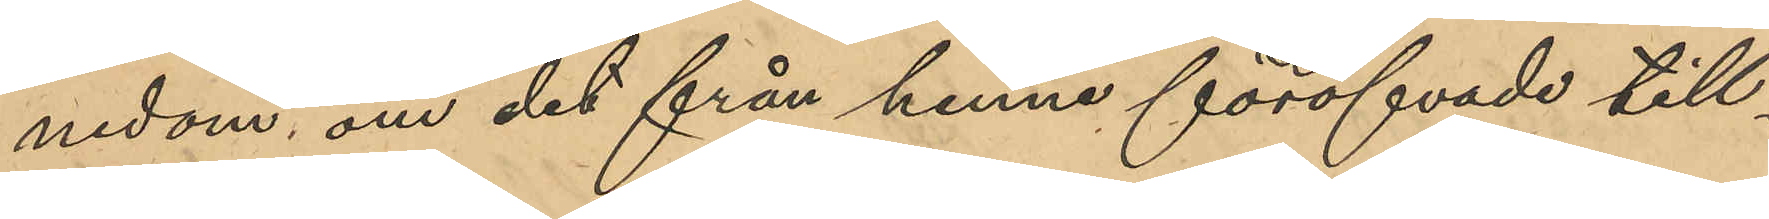nedom, om det från henne föröfvade till¬
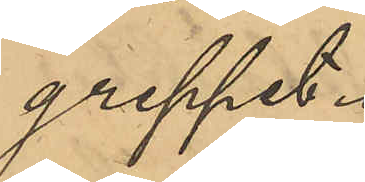greppet.
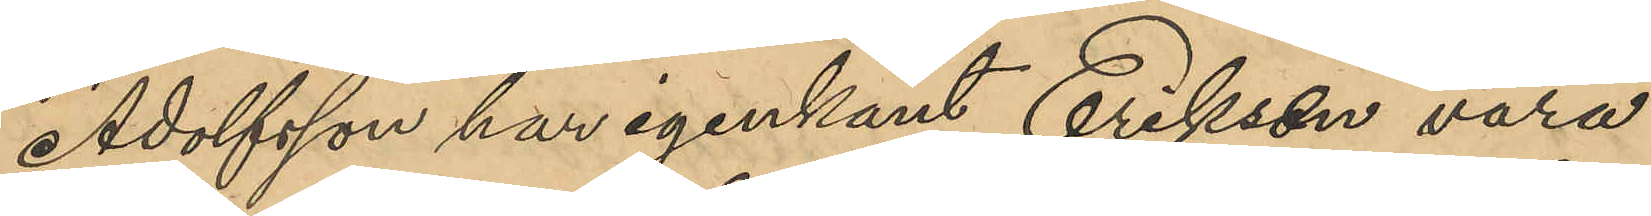Adolfsson har igenkänt Eriksen vara
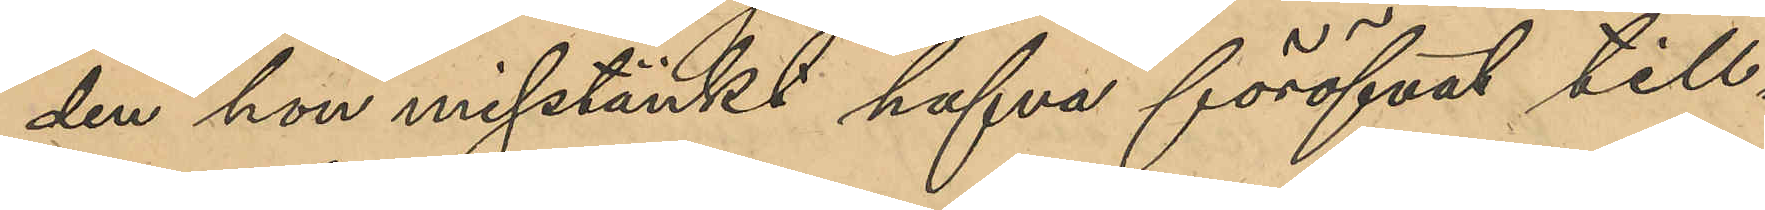den hon misstänkt hafva föröfvat till¬
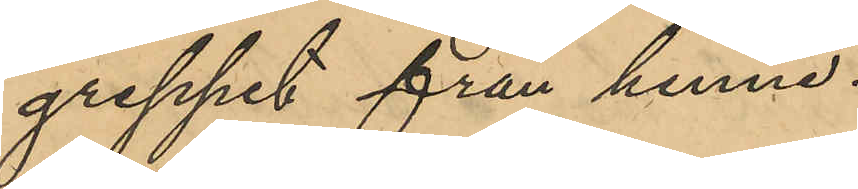greppet från henne.
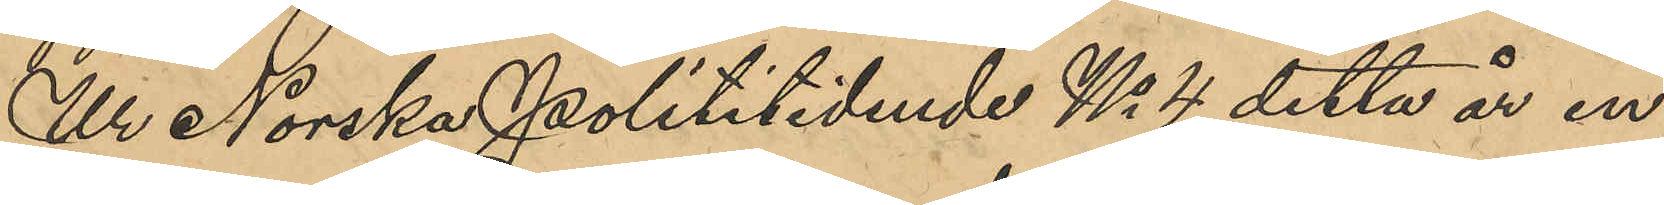Ur Norska Polititidende No 4 detta år in¬
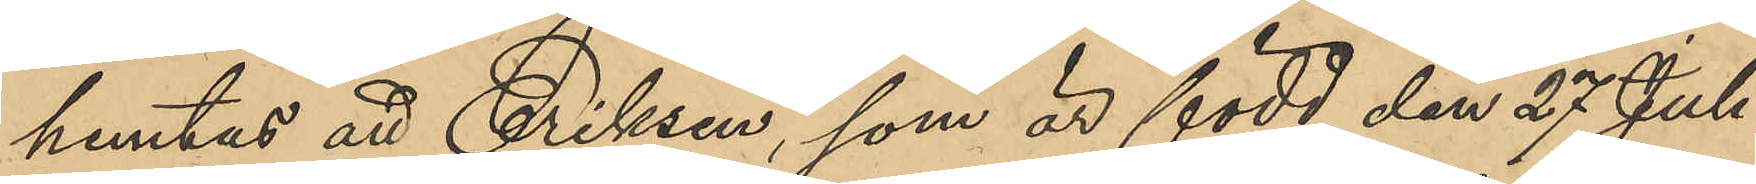hemtas att Eriksen, som är född den 27 Juli
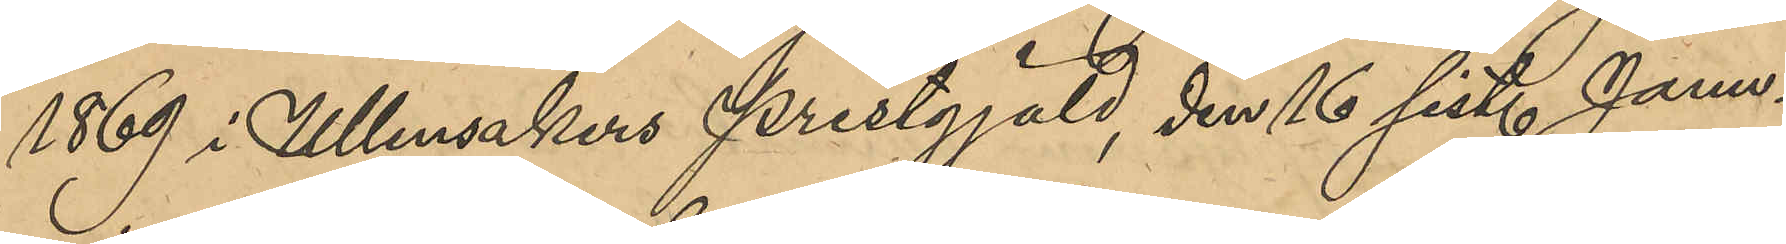1869 i Ullensakers prestgjäld, den 16 sist. Janu¬
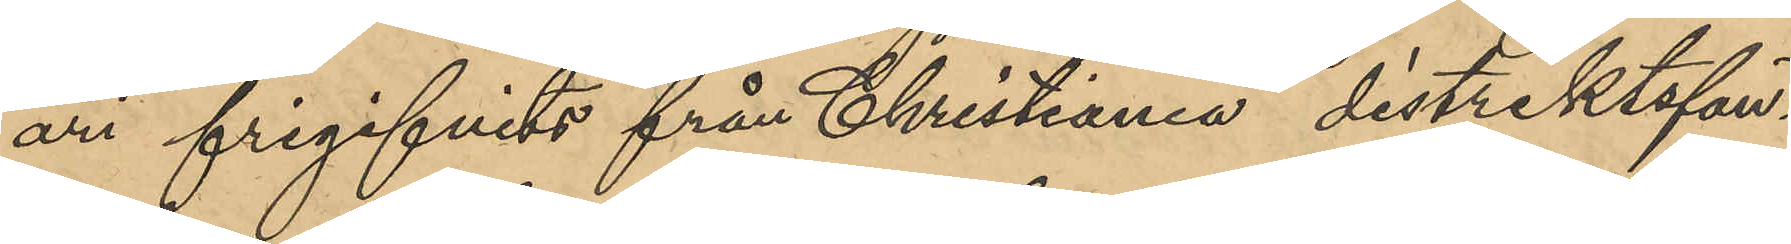ari frigifvits från Christiania distriktsfän¬
